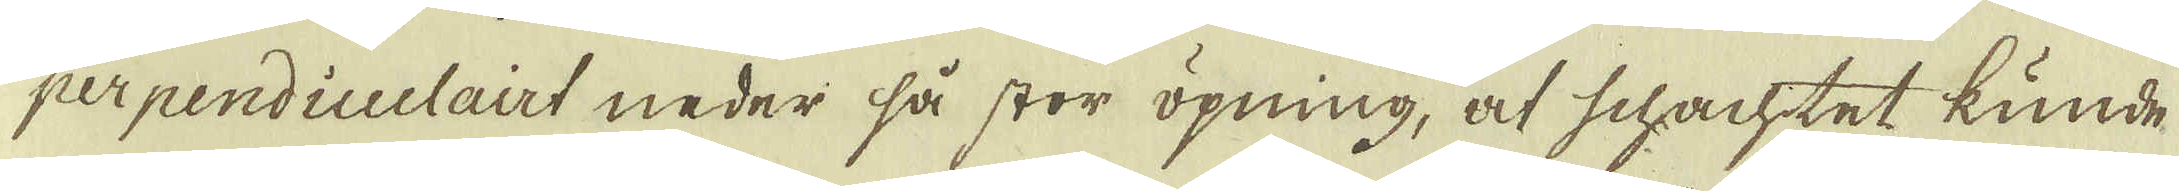Uppå den första kalk klyften /4:o/ inhögs i liggande wägg
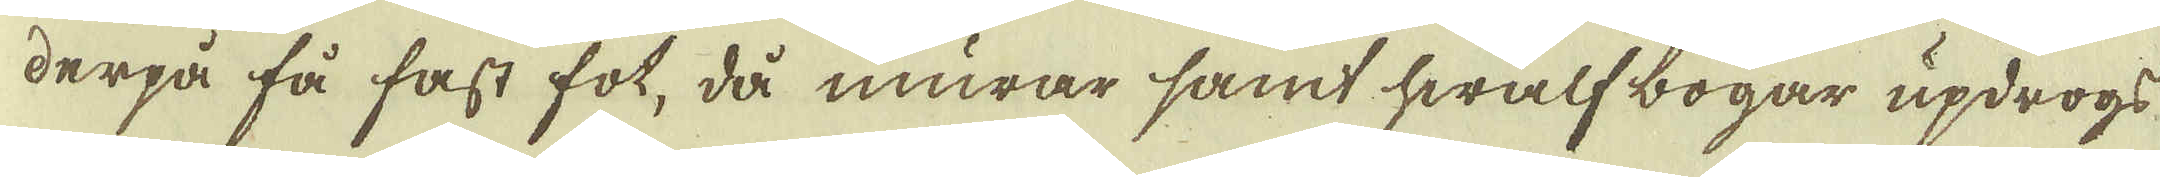perpendiculairt neder så stor öpning, at schachtet kunde
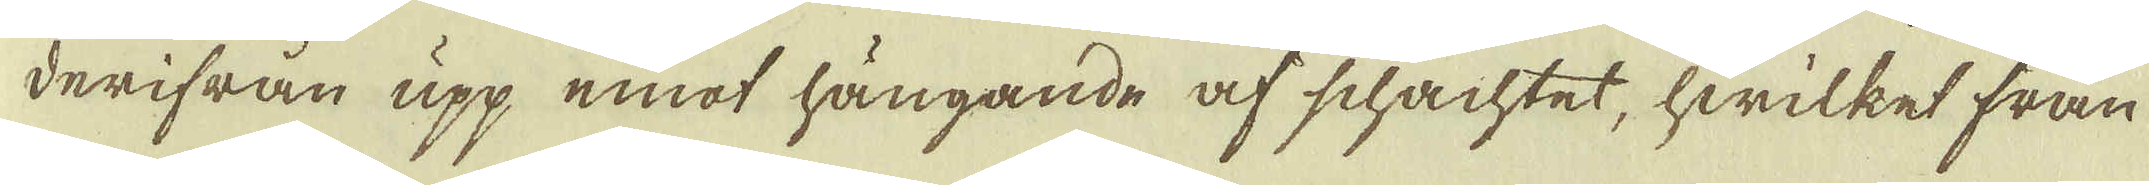derpå få fast fot, då murar samt hwalf bogar updrogs
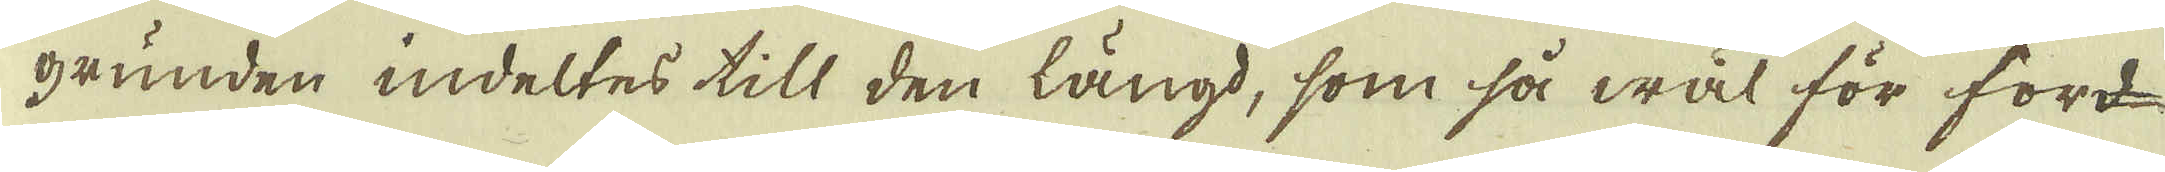derifrån upp emot hängande af schachtet, hwilket från
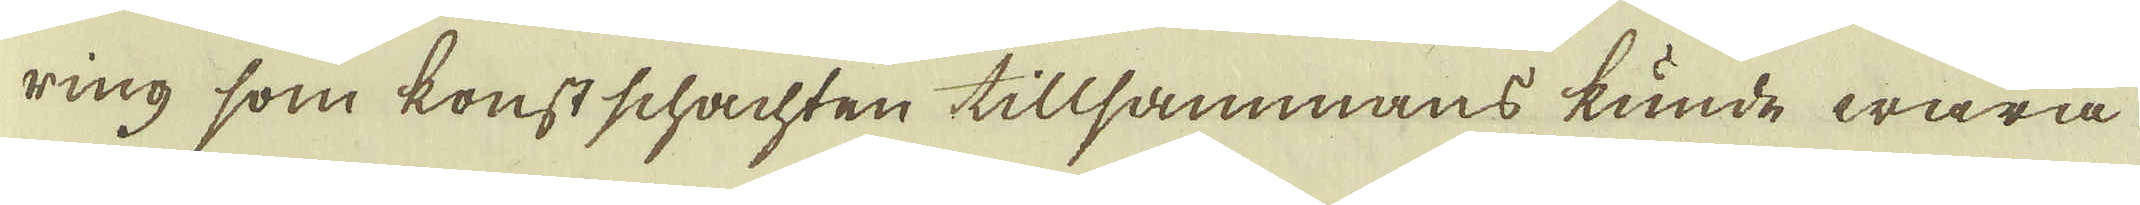grunden indeltes till den längd, som så wäl för ford-
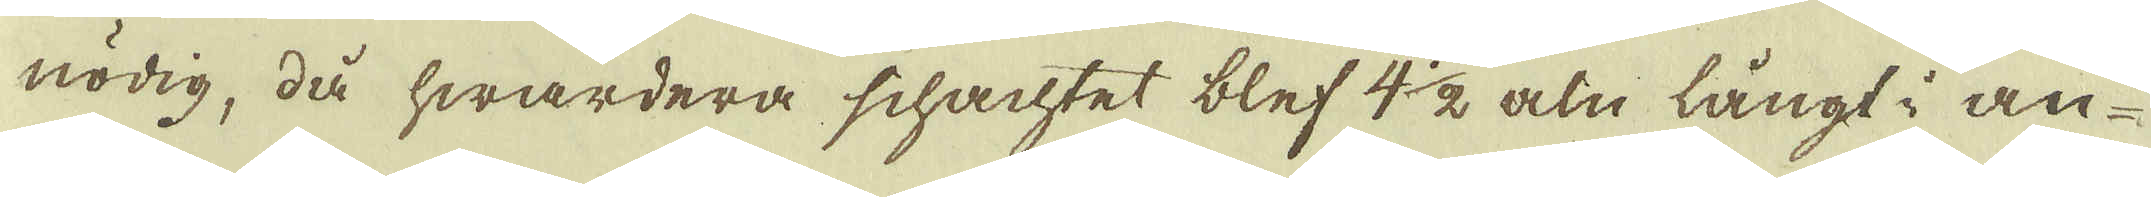ring som konst schachten tillsammans kunde wara
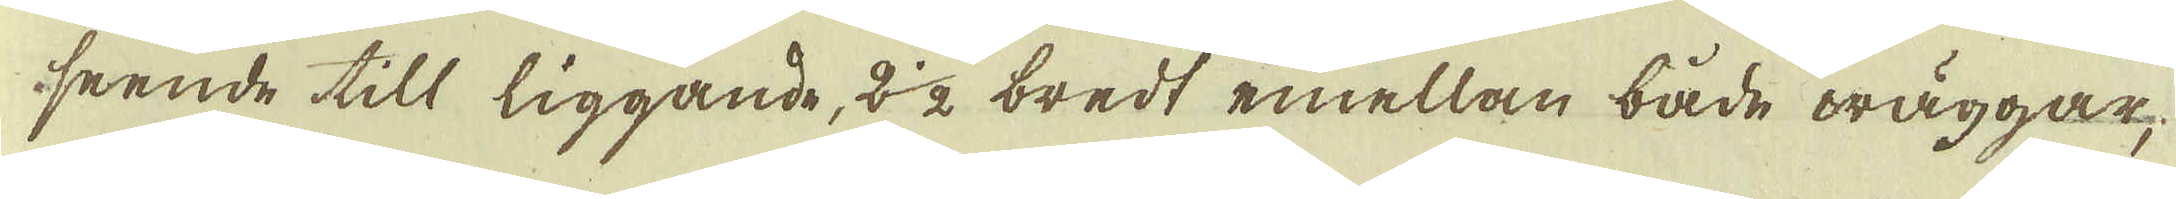nödig, då hwardera schachtet blef 4 1/2 aln långt i an-
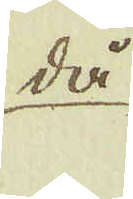seende till liggande, 2 1/2 bredt emellan både wäggar,
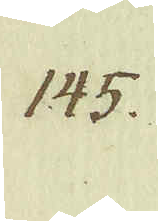då
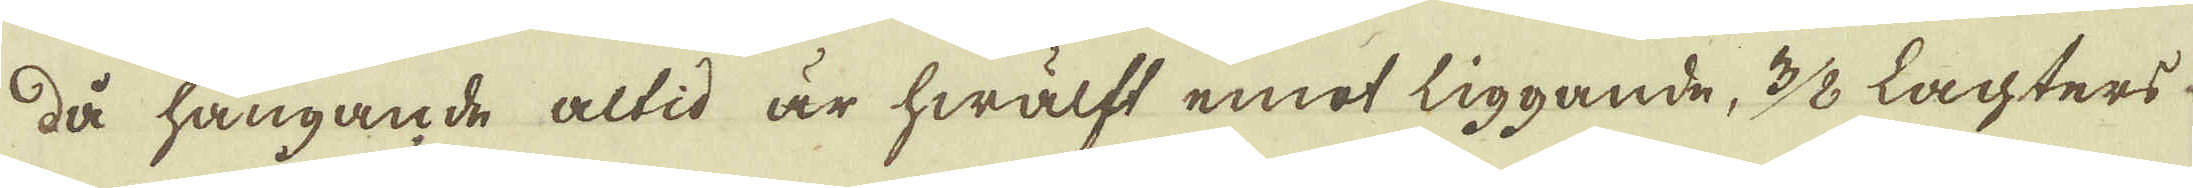då hängande altid är hwälft emot liggande, 3/8 Lachters
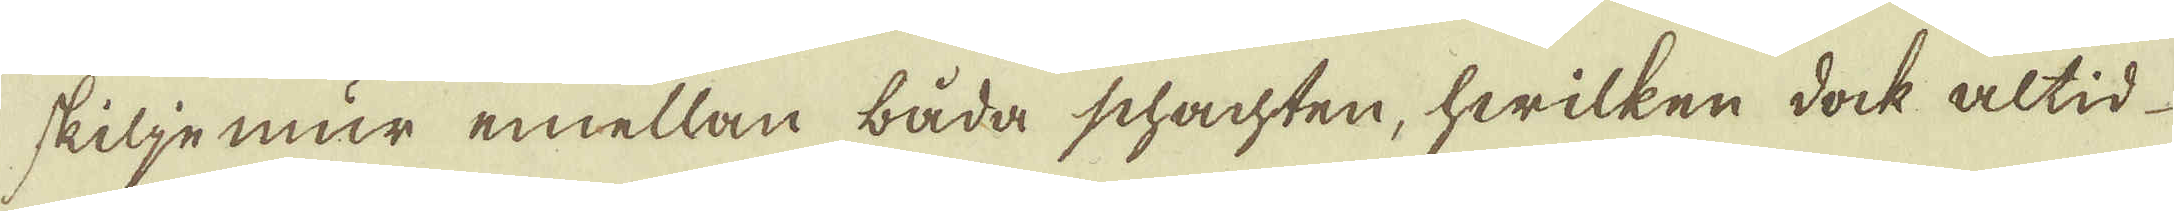skiljemur emellan båda schachten, hwilken dock altid
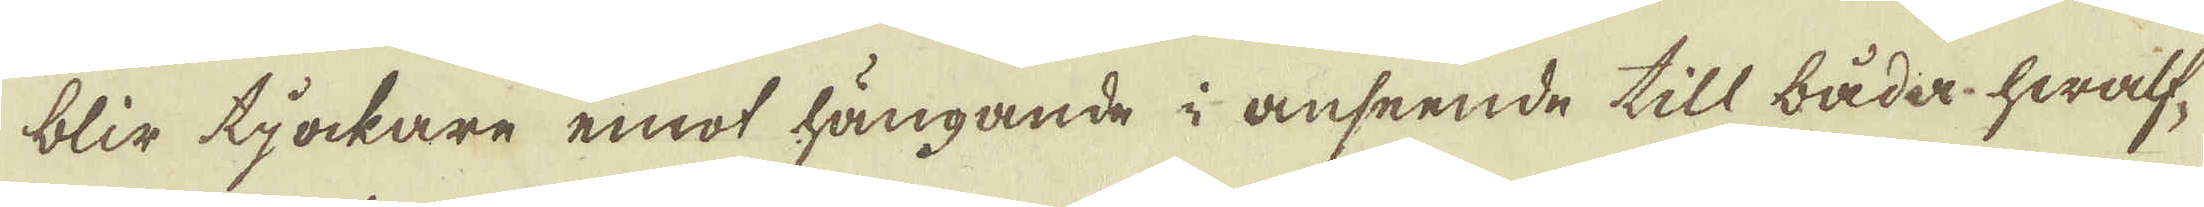blir tjockare emot hängande i anseende till båda hwalf-
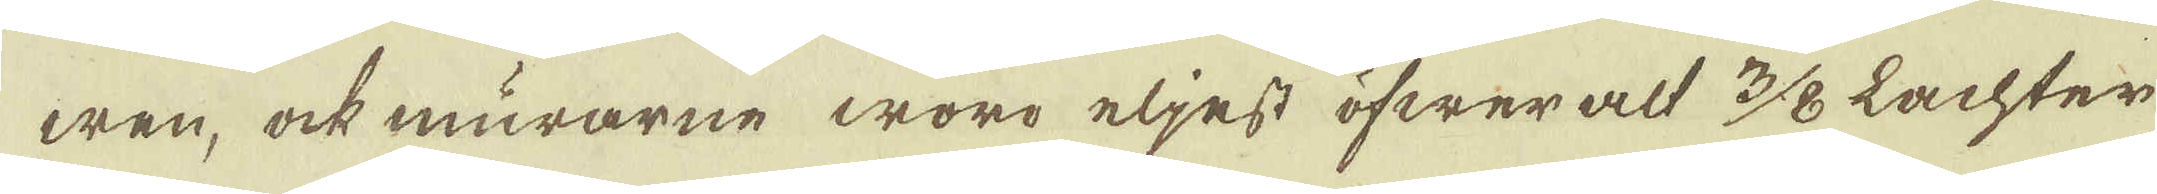wen, ock murarne woro eljest öfwer alt 3/8 Lachter
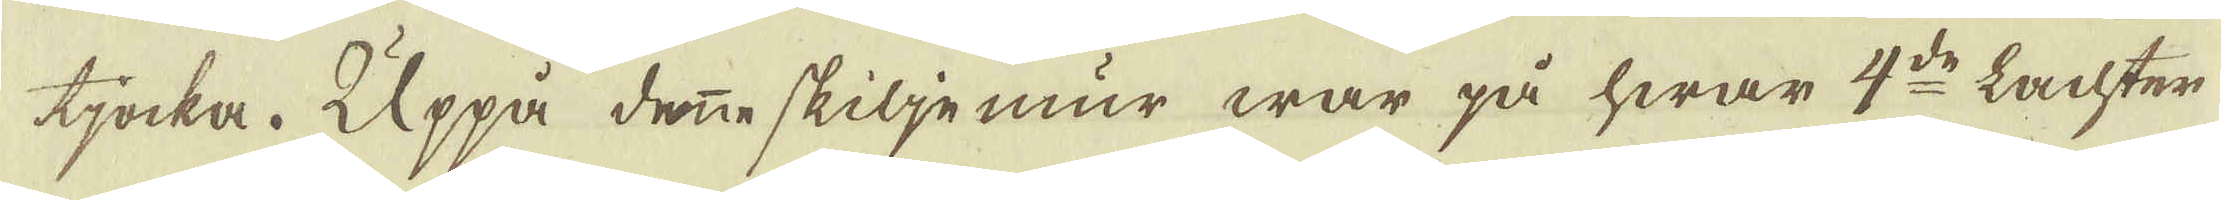tjocka. Uppå denne skiljemur war på hwar 4:de Lachter
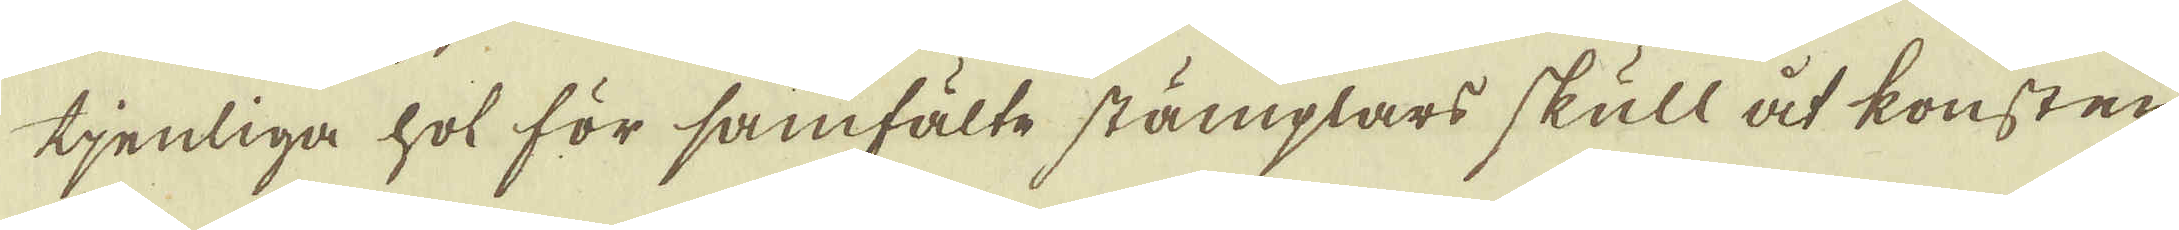tjenliga hol för samfälte stämplars skull åt konsten,
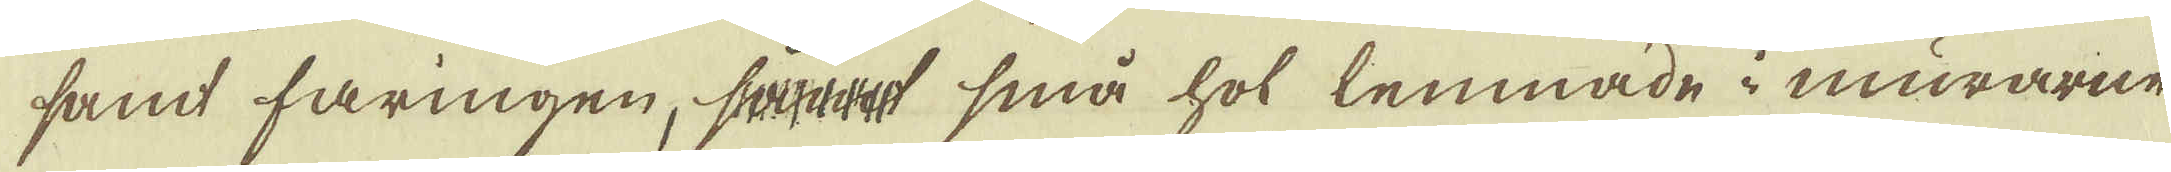samt faringen, samt små hol lemnade i murarne
